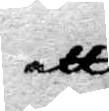att
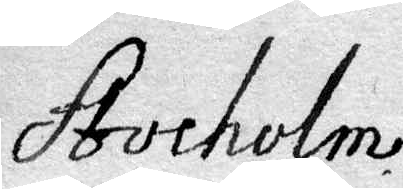Stocholm
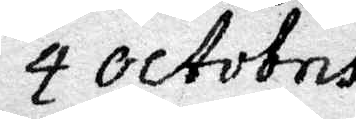4 octobris
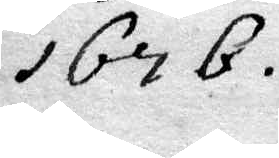1676
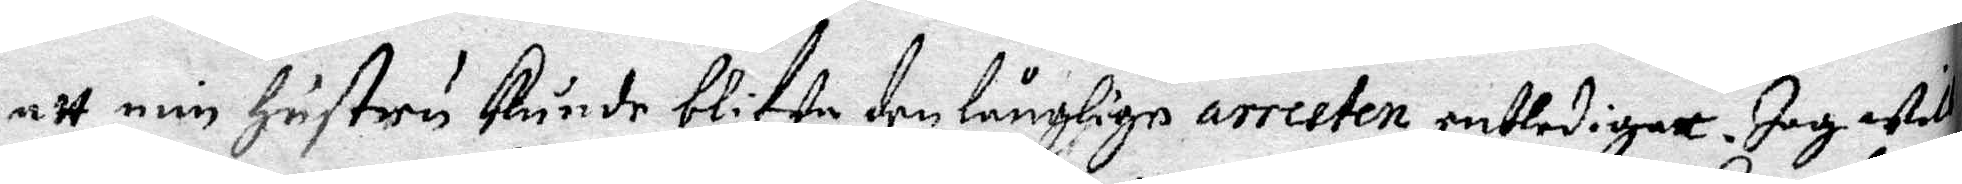att min Hustru kunde blifw den långkige arresten entledigatt. Jag ....
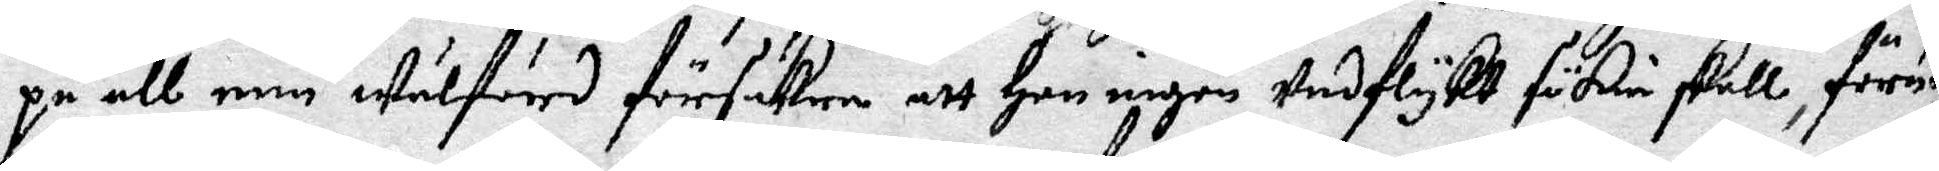på all min Wälfärd försäkra att Hon ingenUndflykt sökia skall, förut..
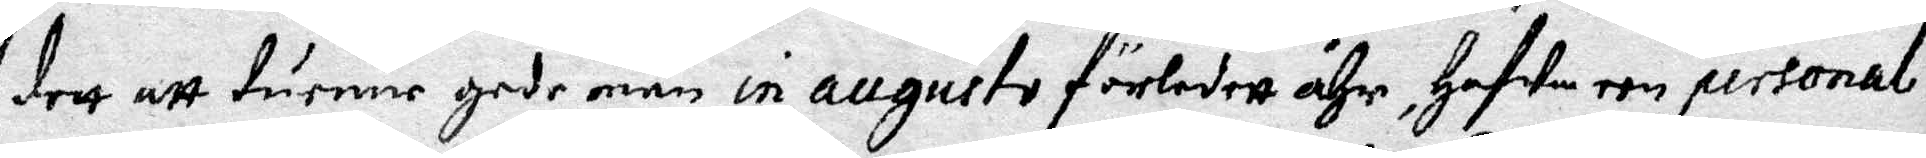dett att tuenne gode män in augusto förledne åhr, Hafwa een personal ....
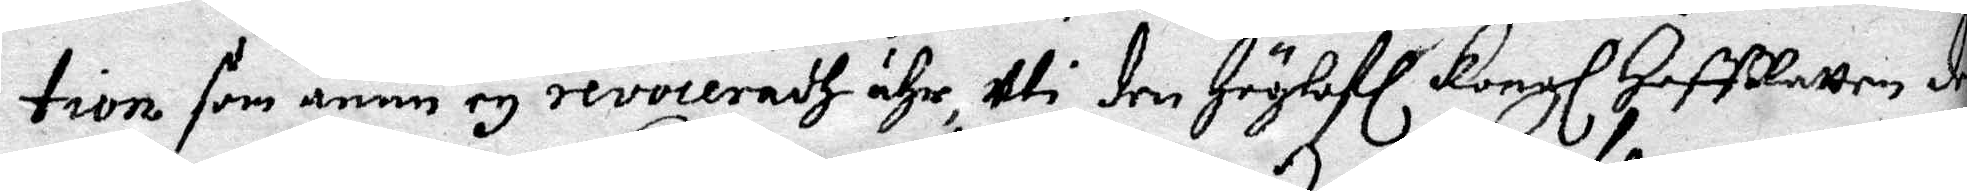tion som ännu ey revoceradh ähr Uti den Höglofl Kongl HoffRätten de
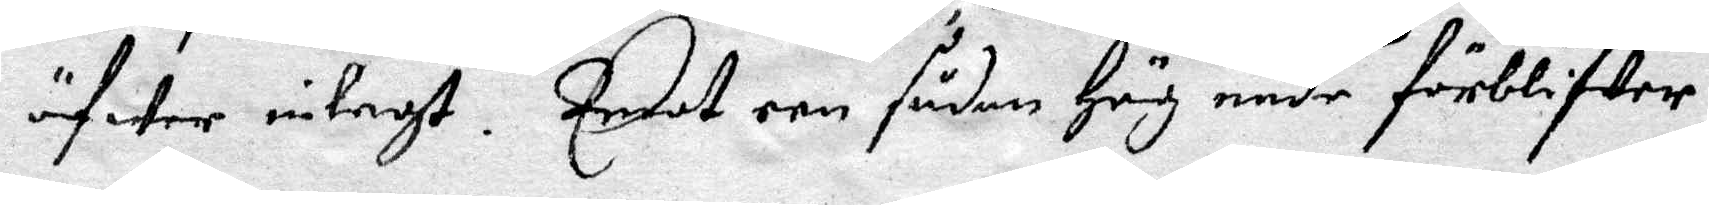öfwer inlagt. Emot een sådan Hög nåde förblifwer
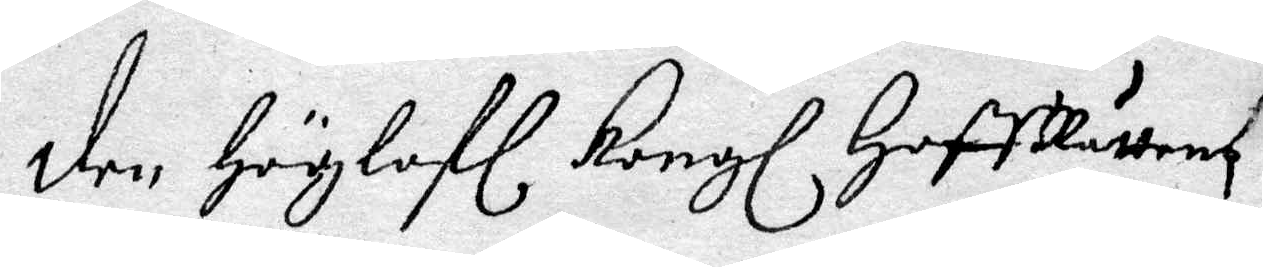den Höglofl Kongl HoffRättens
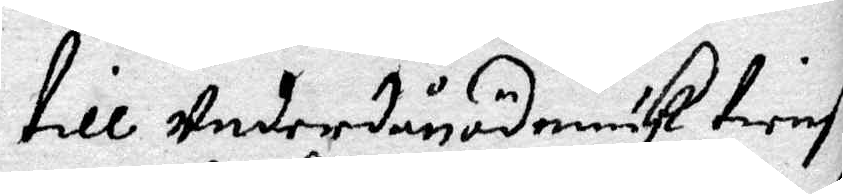till Underdånödmiuk tienst
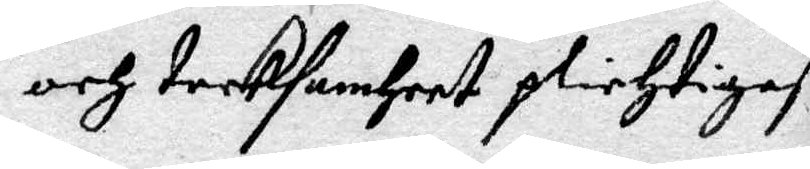och tacksamheet plichtigast
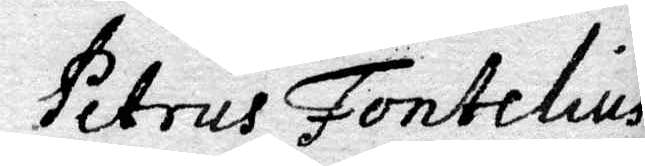Petrus Fontelius
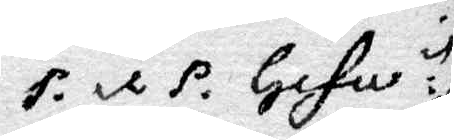P. et P. Gefle
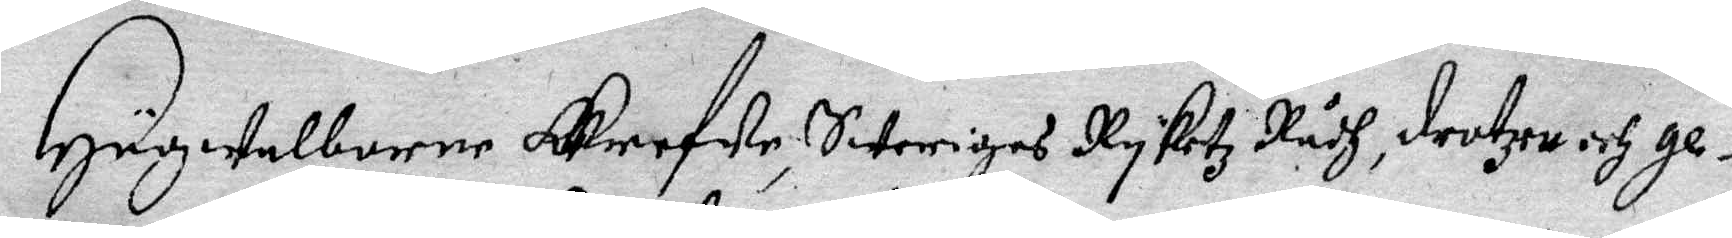Högwelborne Grefwe, Swerige Ryketz Rådh, drotze och ge¬
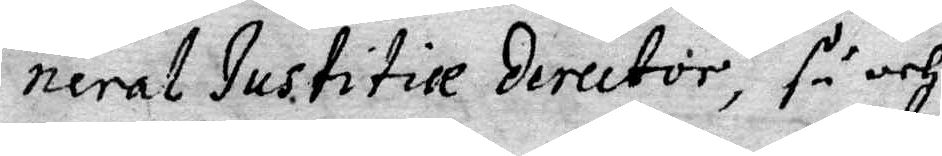neral Justitie director, så och
